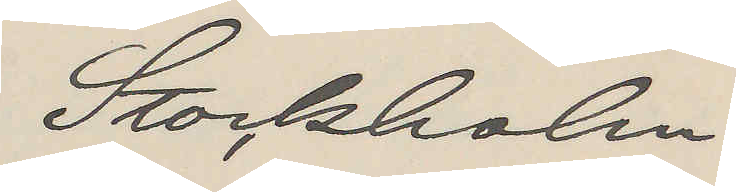Stockholm
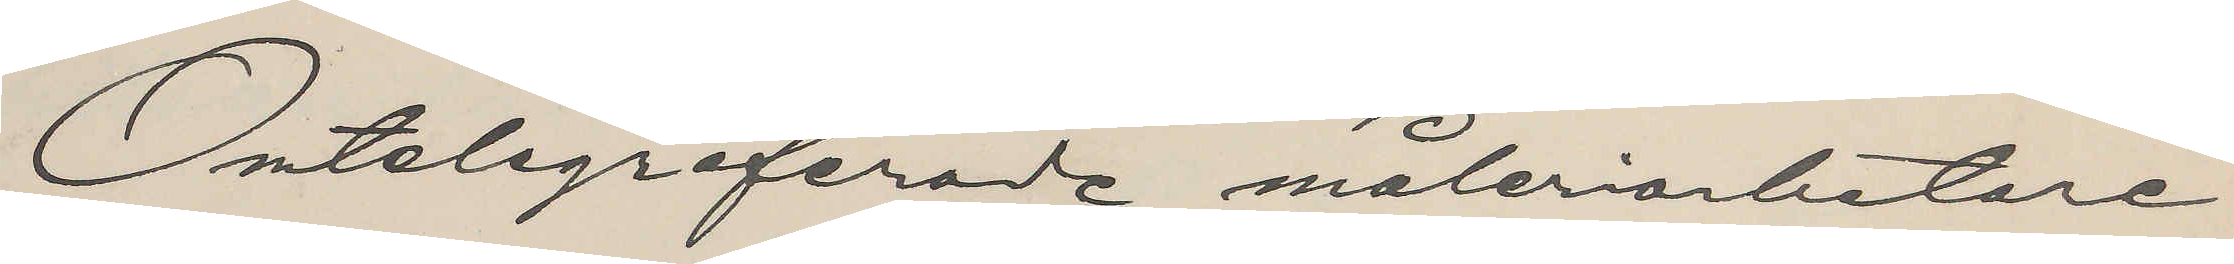Omtelegraferade måleriarbetare
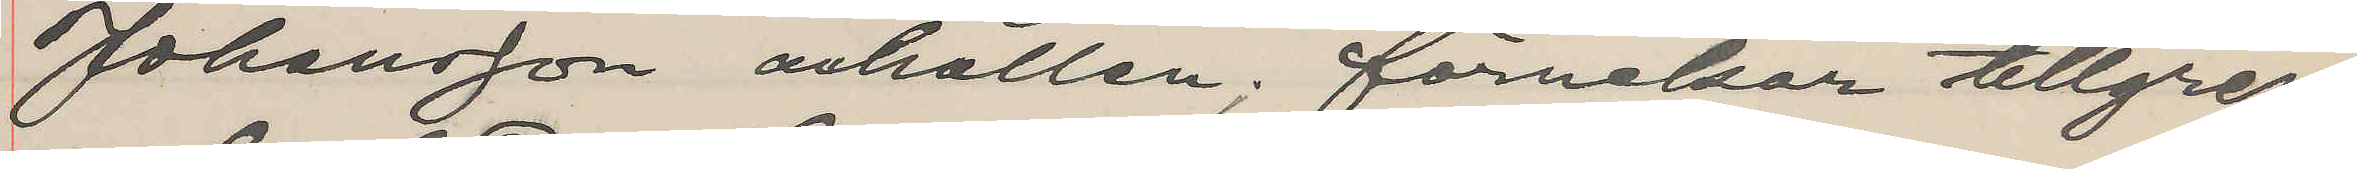Johansson arhållen; förnekar tillgrep¬
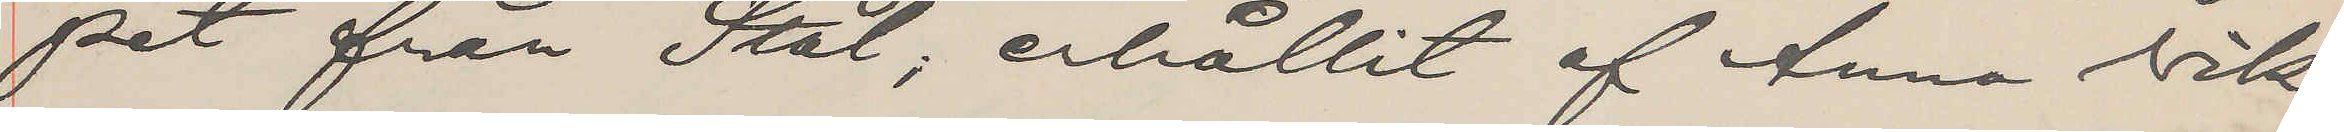pet från Stål; erhållit af Anna Vik¬
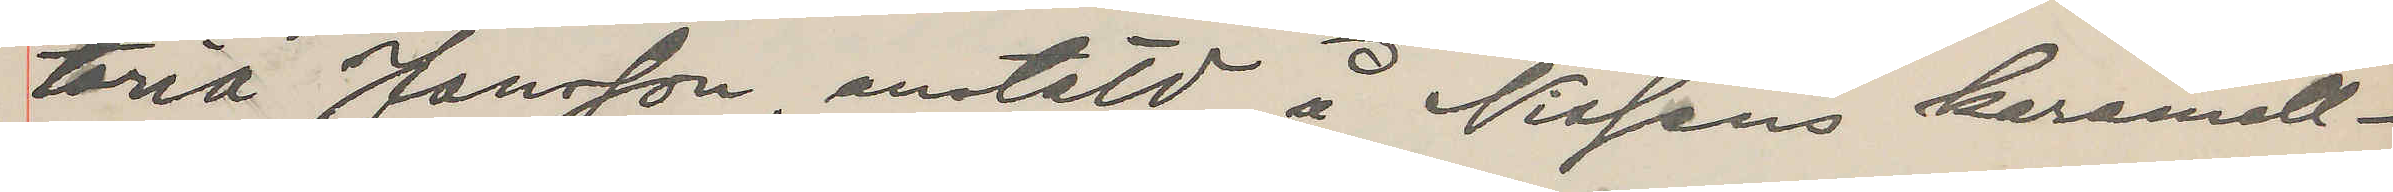toria Jansson, anstäld å Nissens karamell¬
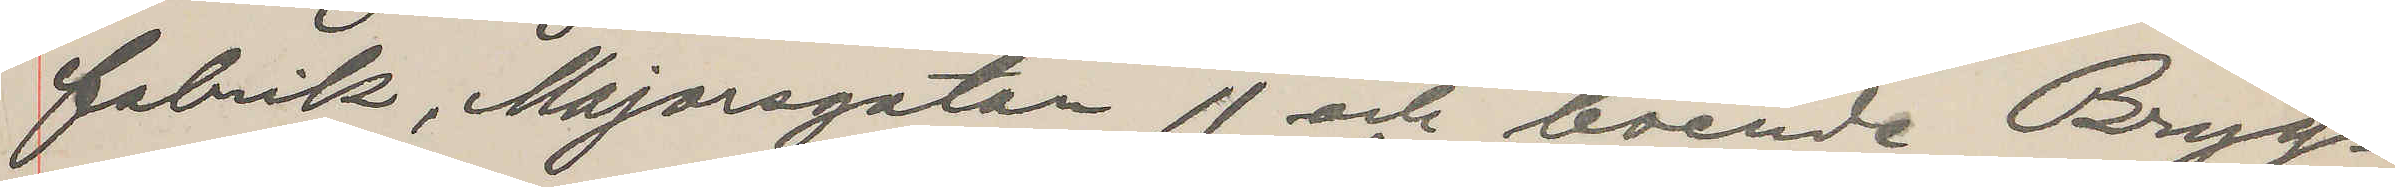fabrik, Majorsgatan 11 och boende Bryg¬
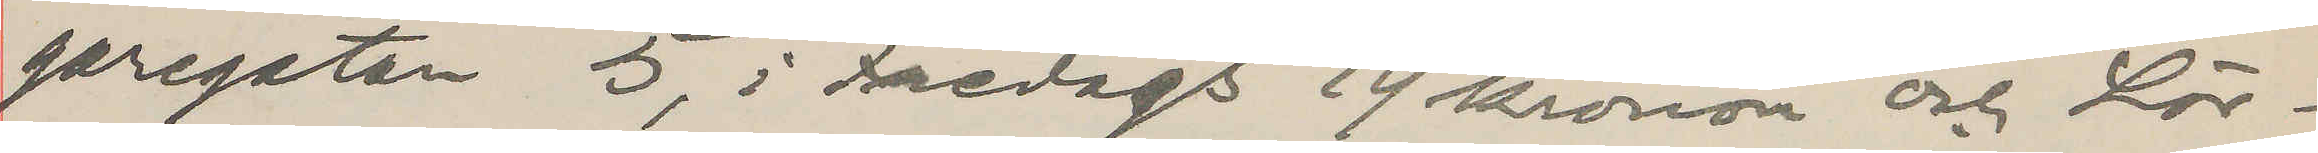garegatan 5, i Fredags 19 kronor och Lör¬
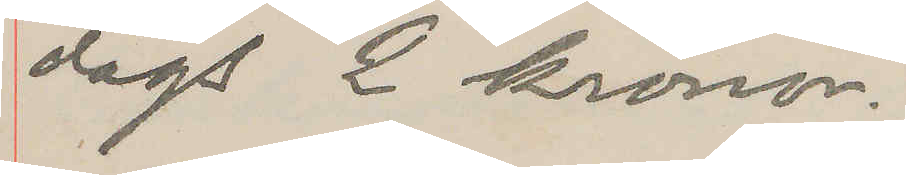dags 2 kronor.
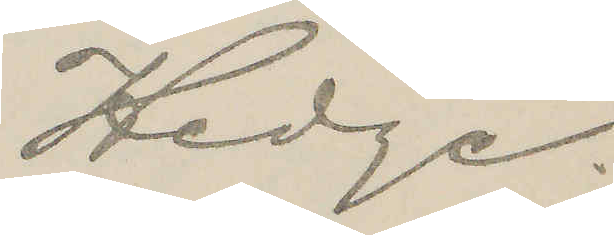Hedge.
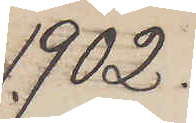1902.
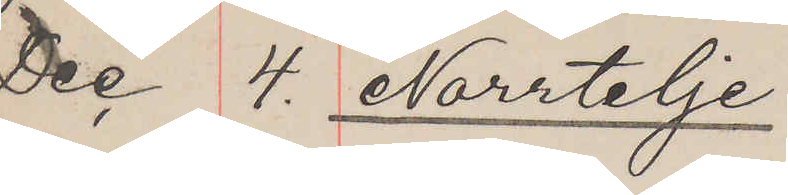Dec 4. Norrtelje
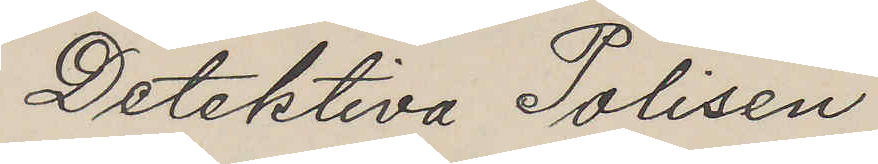Detektiva Polisen
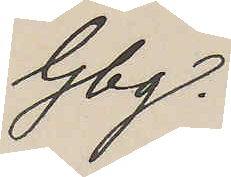Gbg.
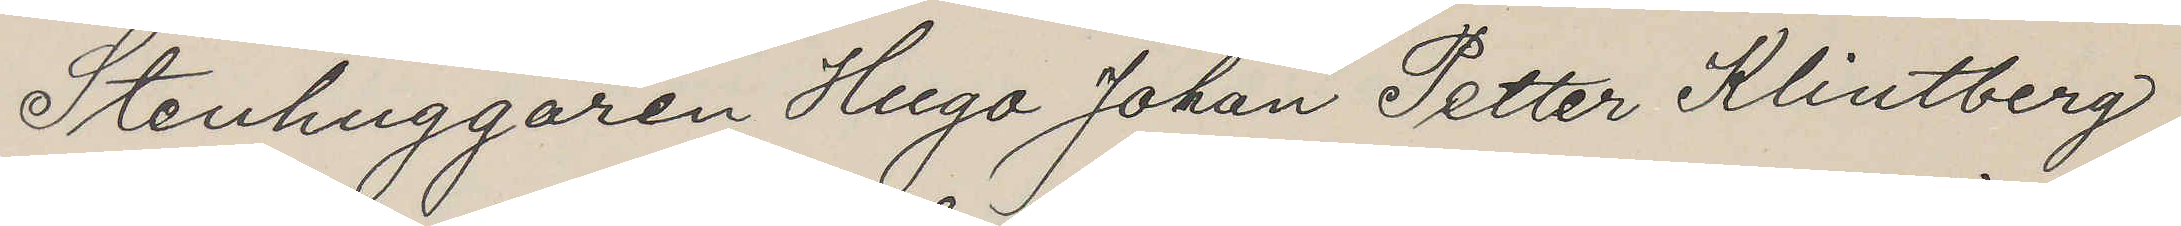Stenhuggaren Hugo Johan Petter Klintberg
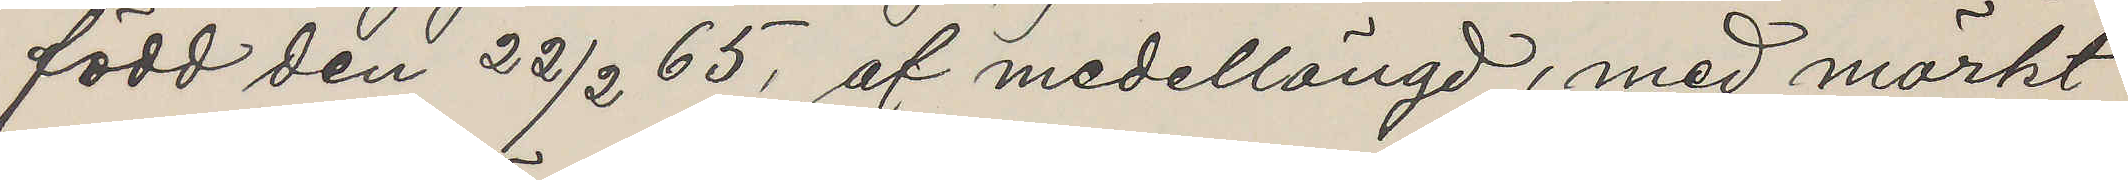född den 22/2 65, af medellängd, med mörkt
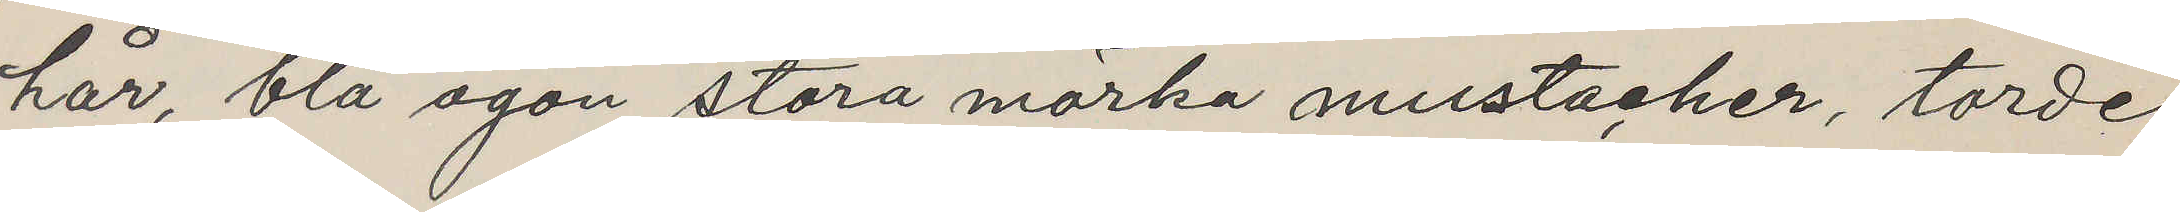hår, blå ögon stora mörka mustacher, torde
